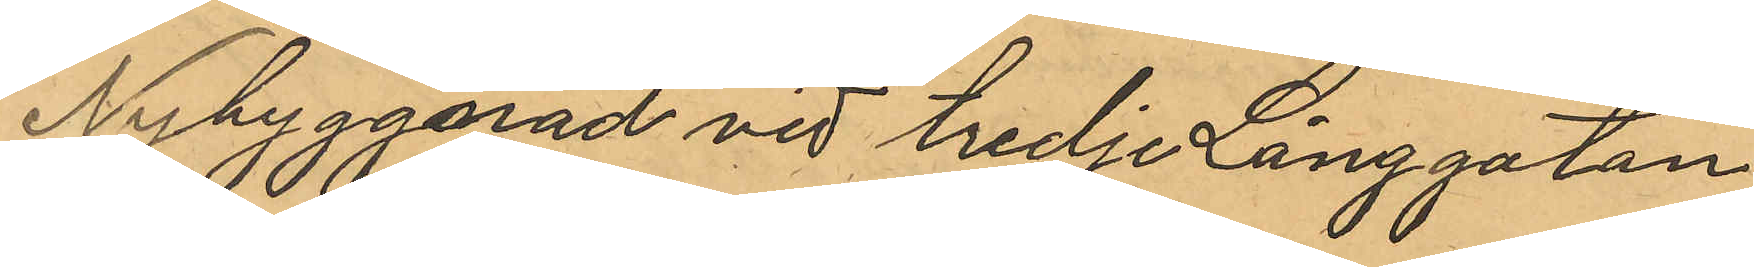Nybyggnad vid tredje Långgatan
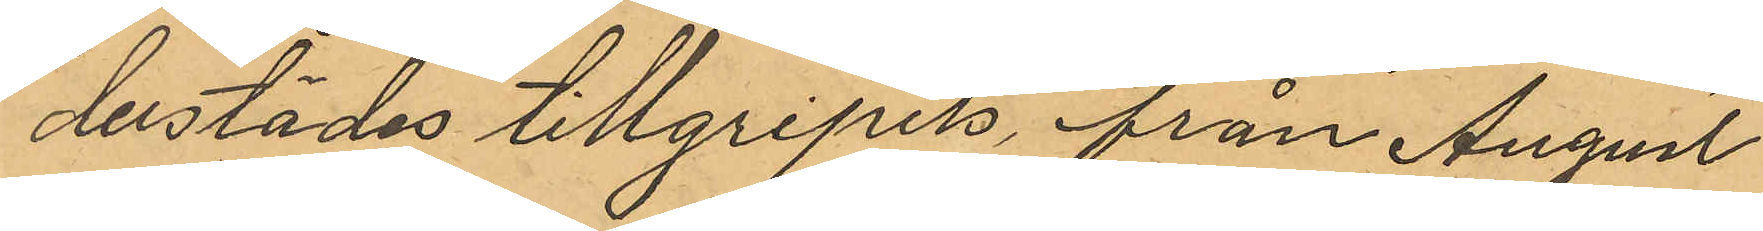derstädes tillgripits, från August
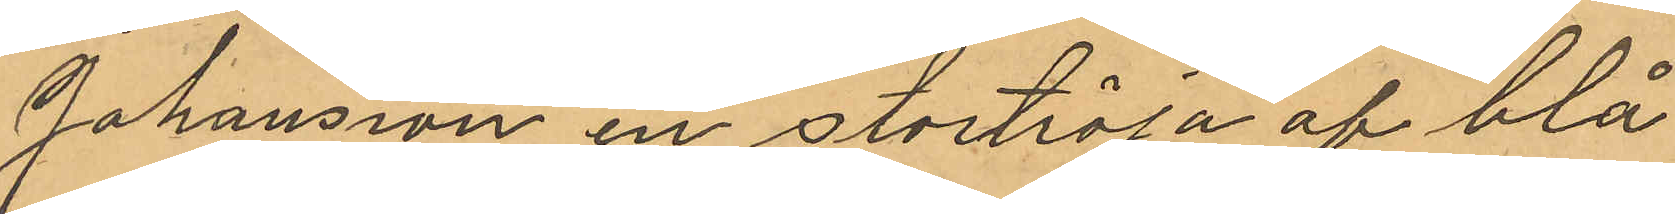Johansson en stortröja af blå
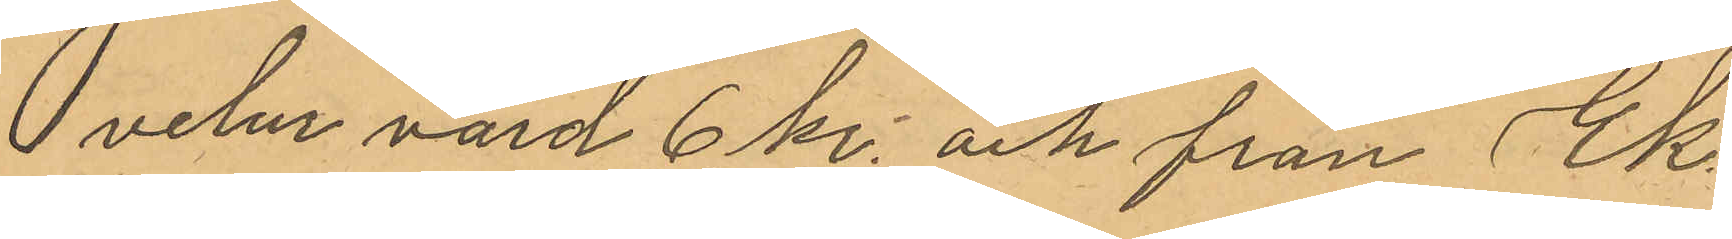velur värd 6 kr. och från Ek
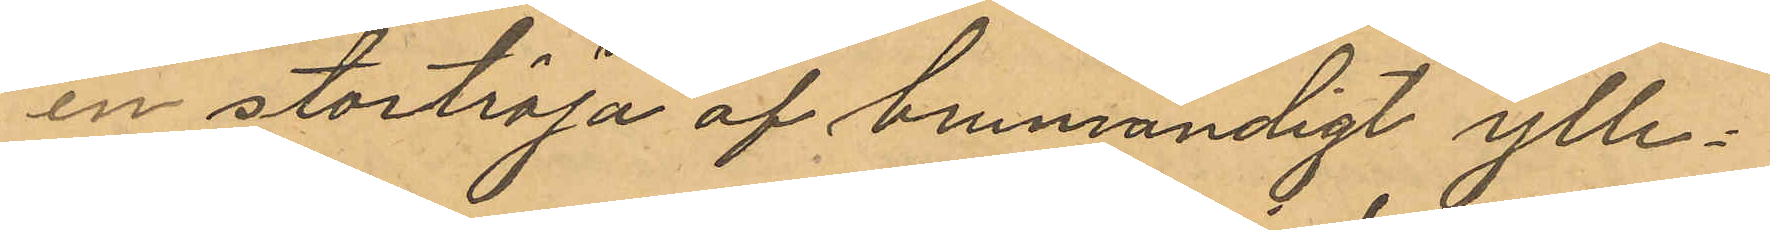en stortröja af brurandigt ylle¬
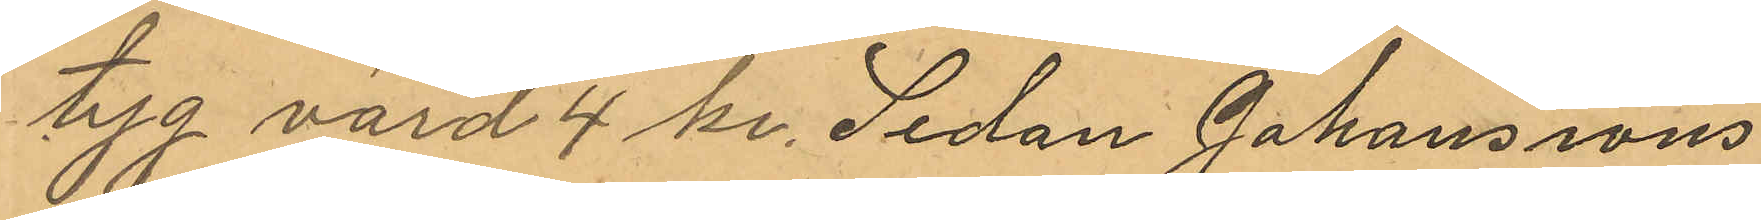tyg värd 4 kr. Sedan Johanssons
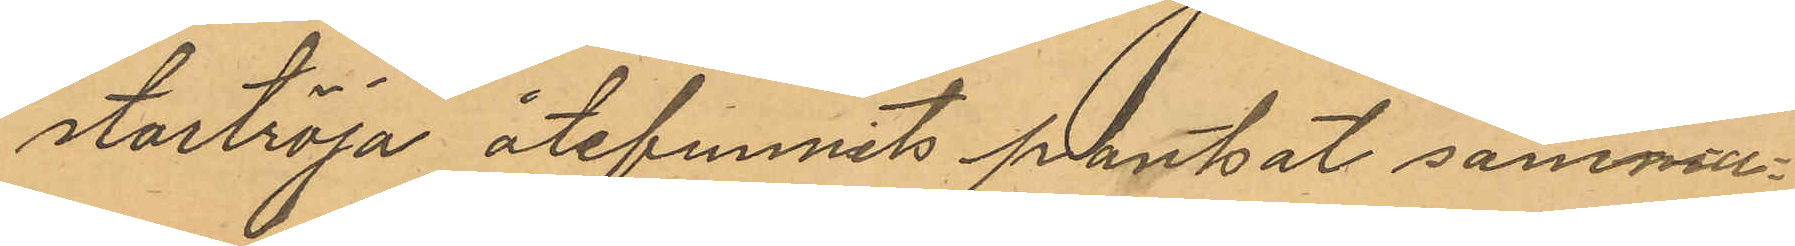stortröja återfunnits pantsat samma
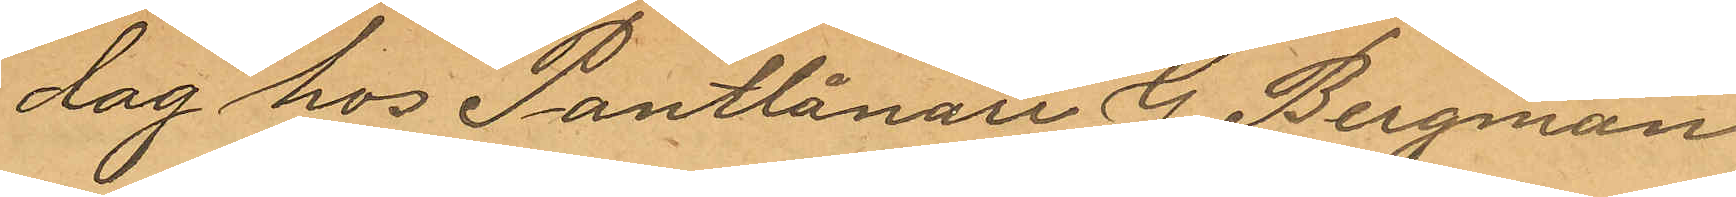dag hos Pantlånare G. Bergman
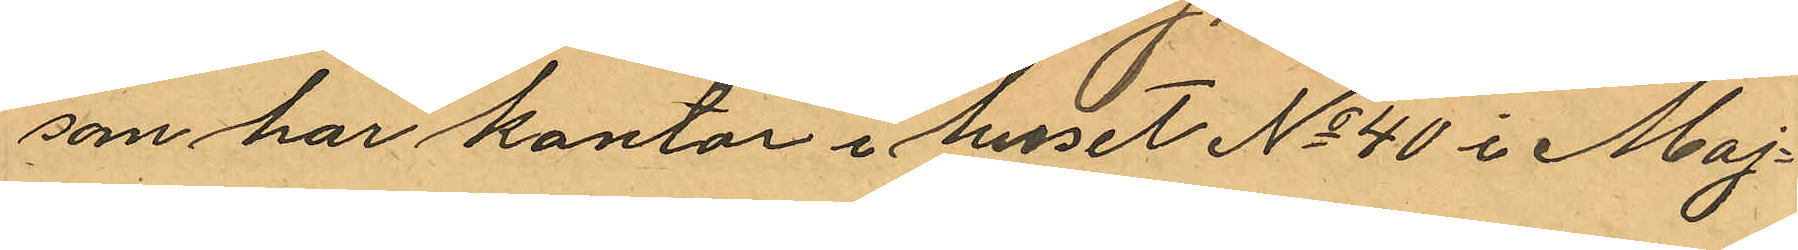som har kontor i huset No 40 i Maj¬
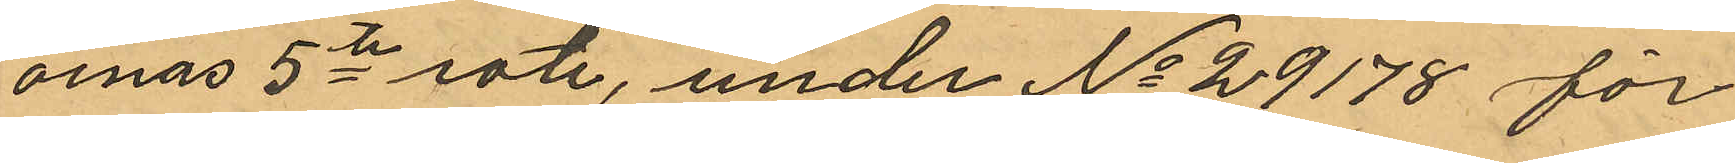ornas 5te rote, under No 29178 för
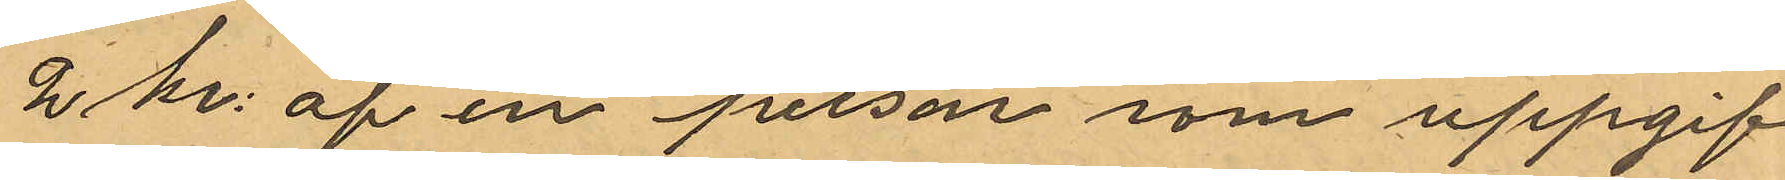2 kr: af en person som uppgif¬
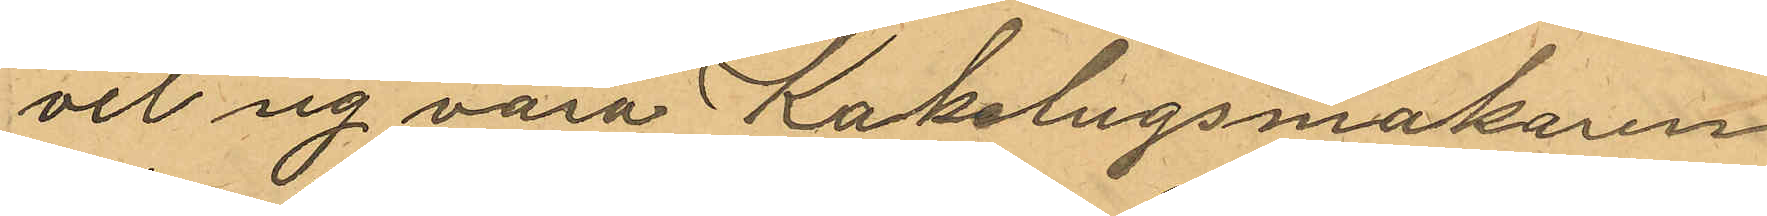vit sig vara Kakelugsmakaren
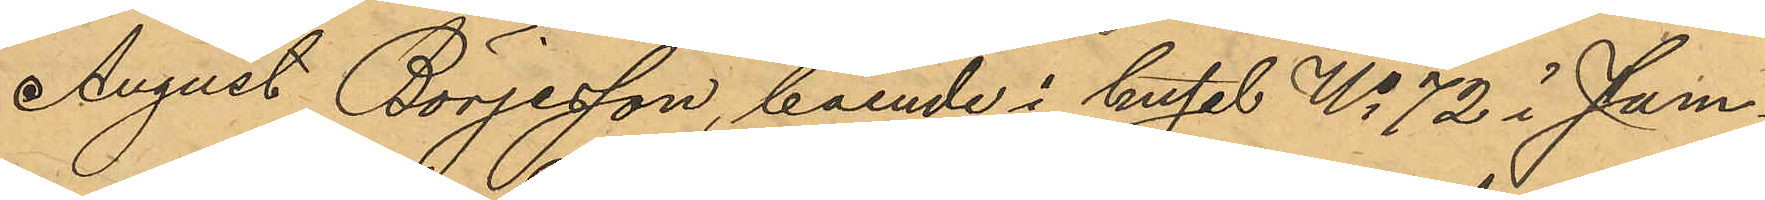August Börjesson, boende i huset No 72 i sam¬
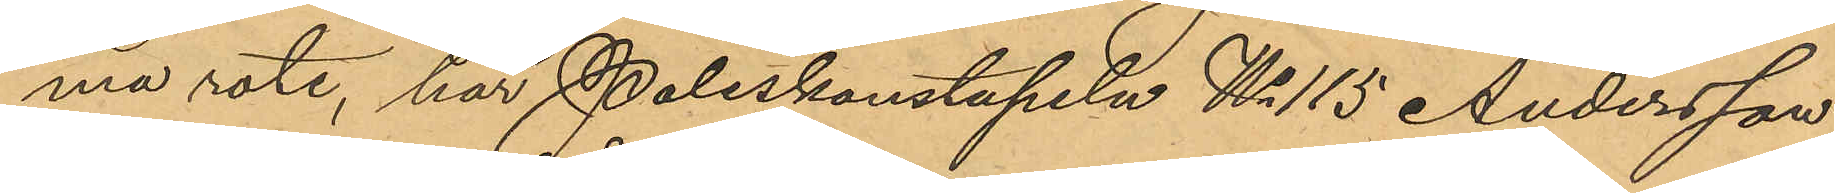ma rote, har Poliskonstapeln No 115 Andersson
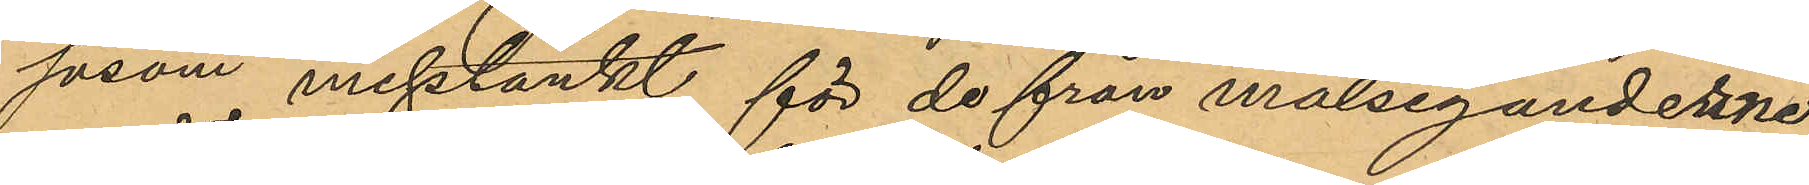såsom misstänkt för de från målseganderne
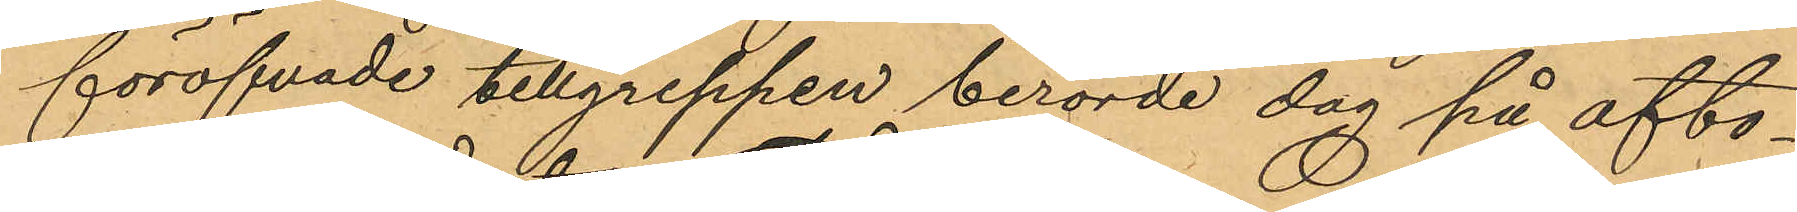föröfvade tillgreppen berörde dag på afto¬
